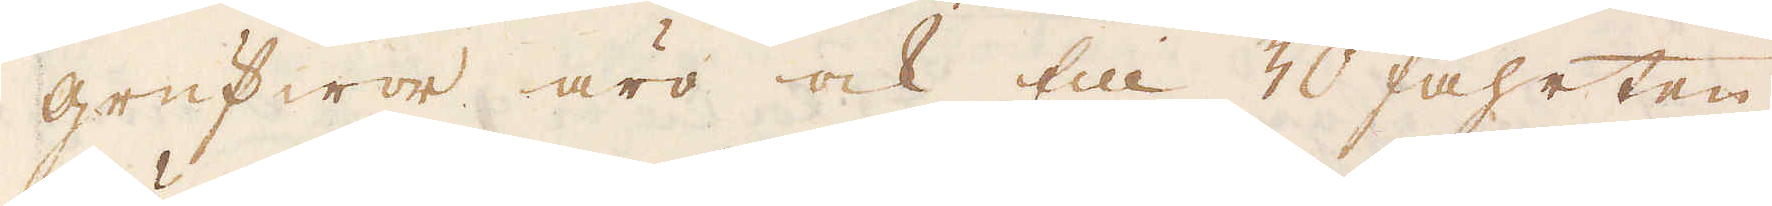grufwor äro ock till 30 fahrten.
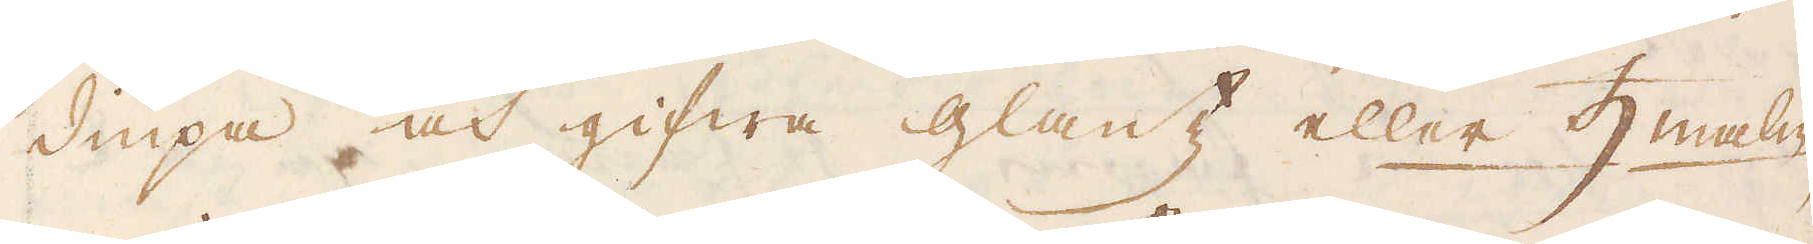diupa och gifwa glantz eller ♄malm
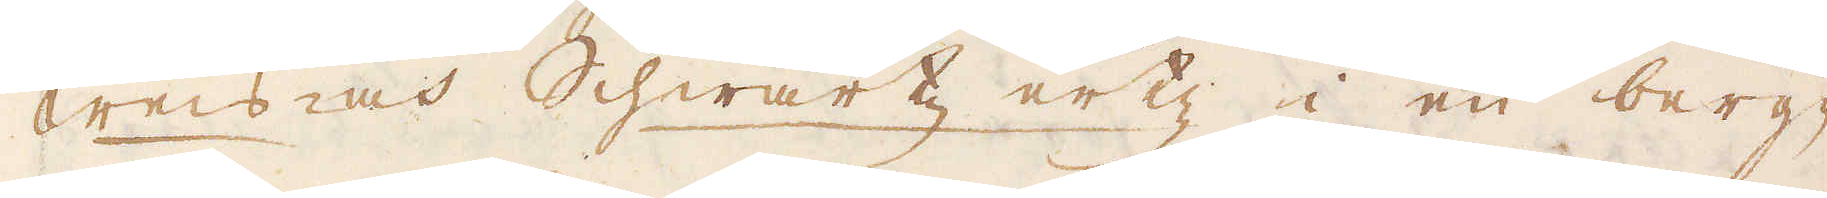weis och Schwartz ertz i en berg-
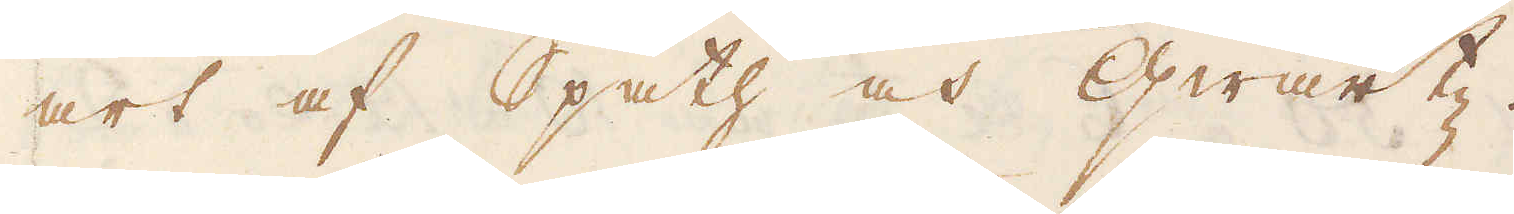art af Spath och Qwartz.
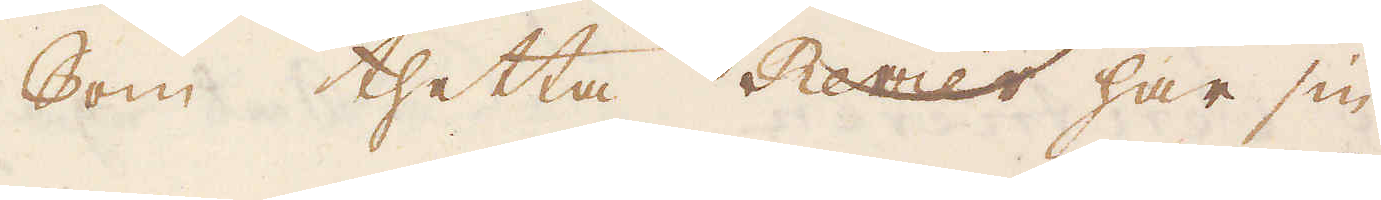Som thetta Ravier har sin
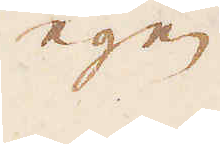egen
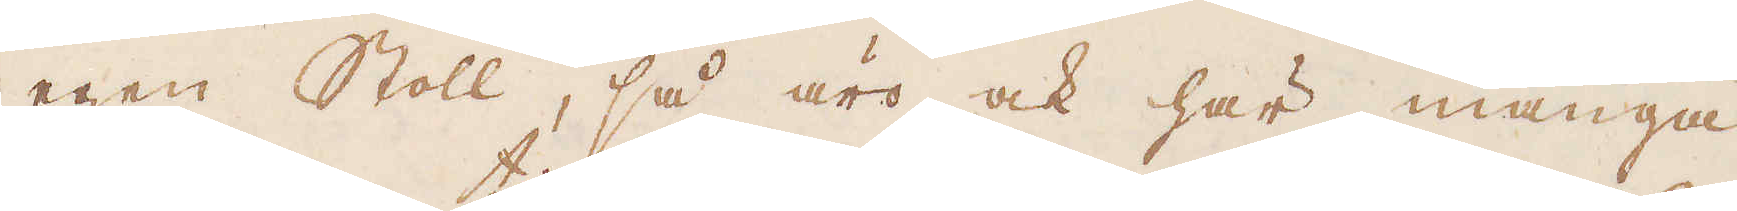egen Stoll, så äro ock här många
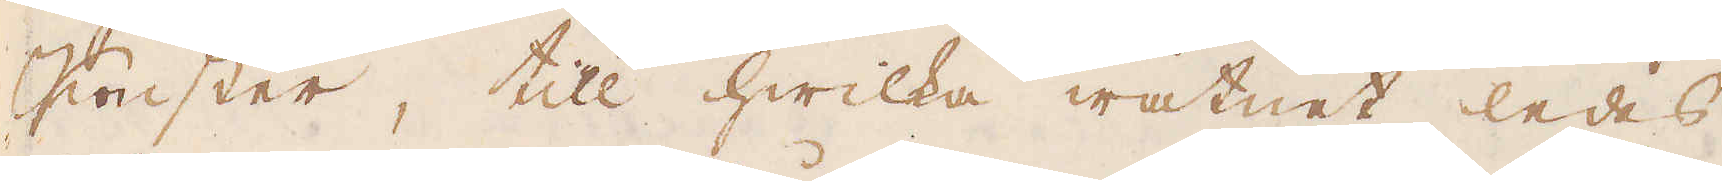Konster, till hwilka watnet ledes
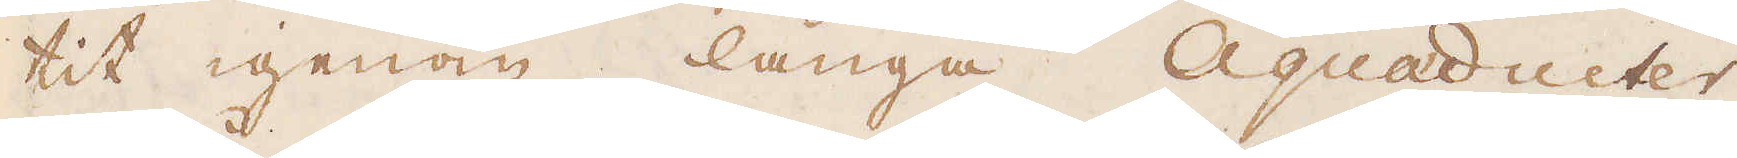tit igenom långa Aquaducter,
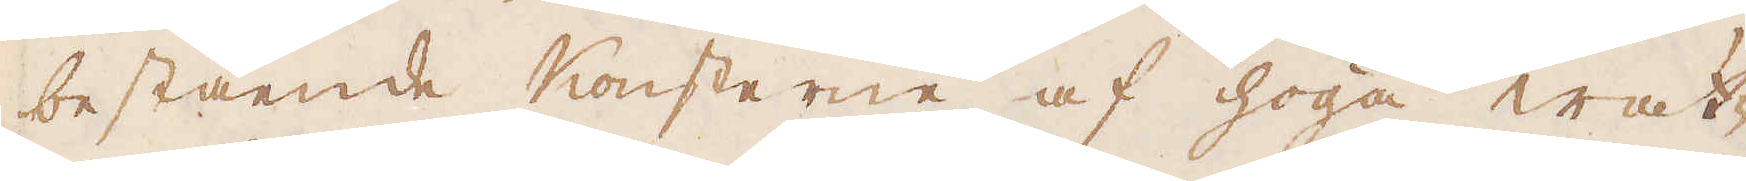bestående Konsterne af höga wat-
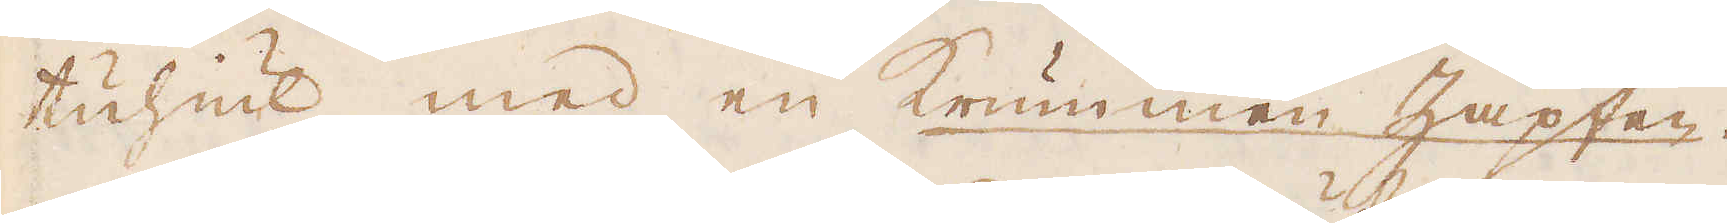tuhiul med en Krummen Zapten.
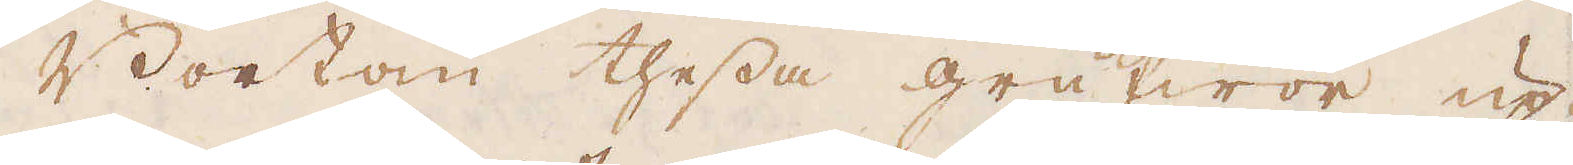Bortom thessa grufwor up-
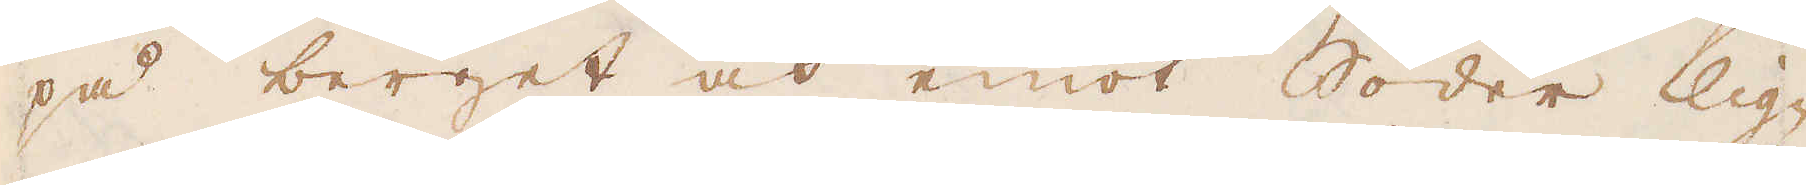på berget och emot Söder lig-
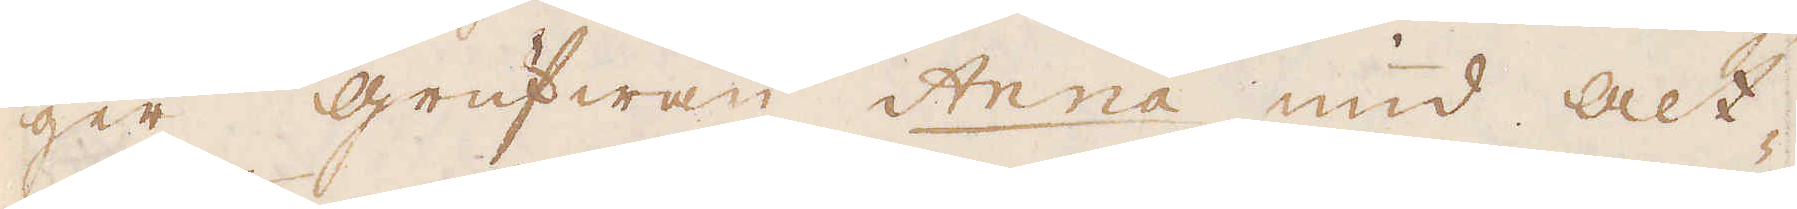ger grufwan Anna und alt-
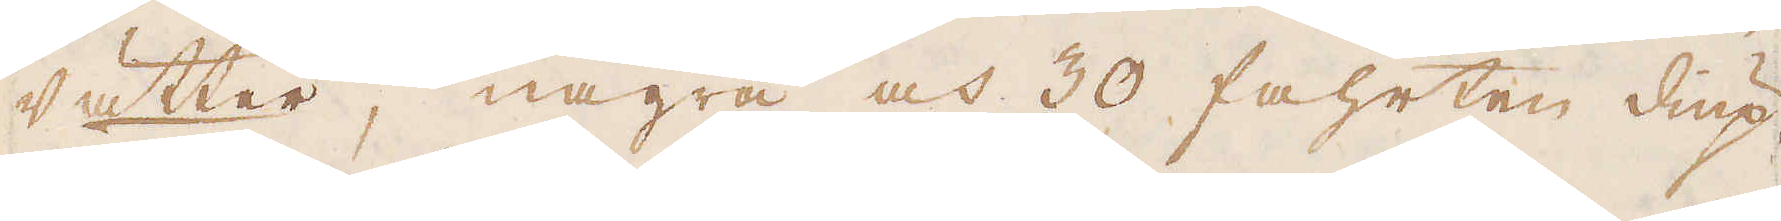vätter, några och 30 fahrten diup.
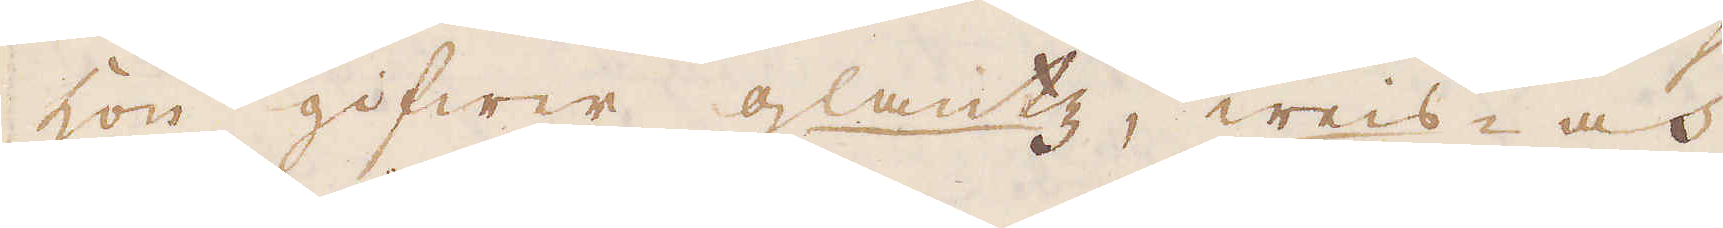Hon gifwer glantz, weis- och
